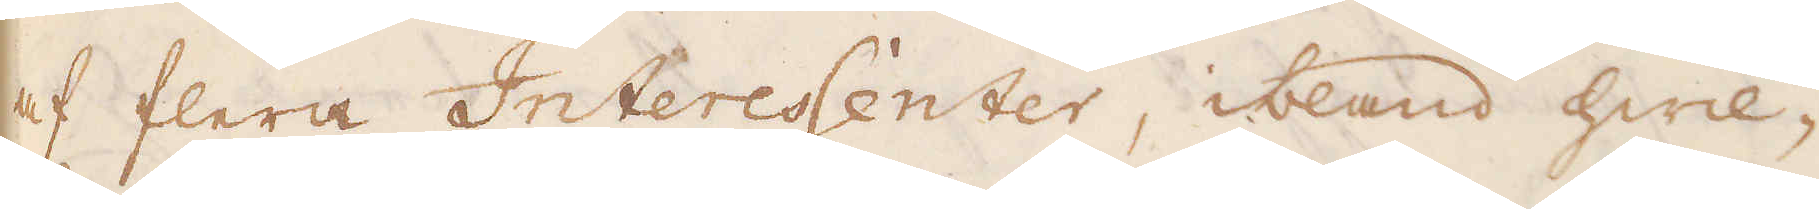af flera Interessenter, ibland hwil-
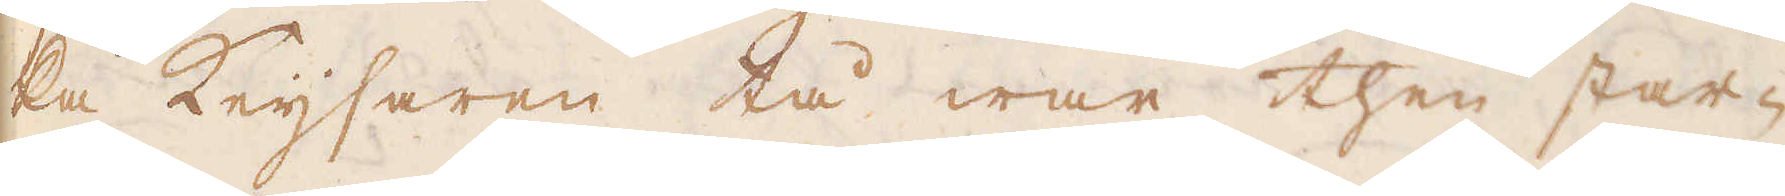ka Keijsaren tå war then star-
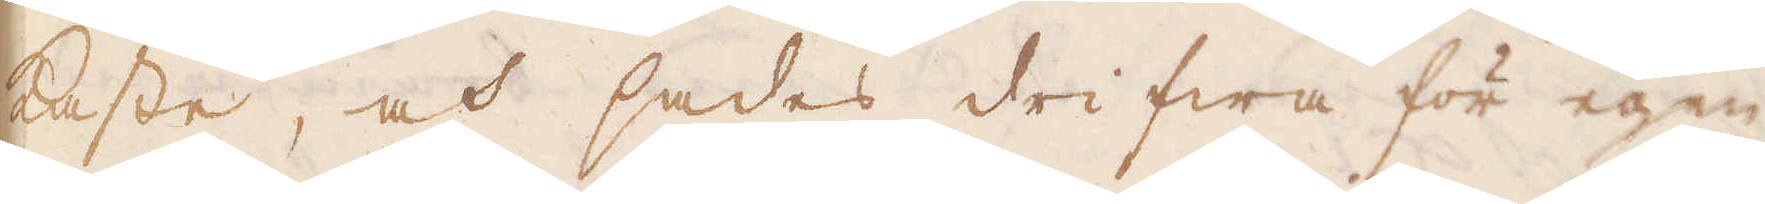kaste, och sades drifwa för egen
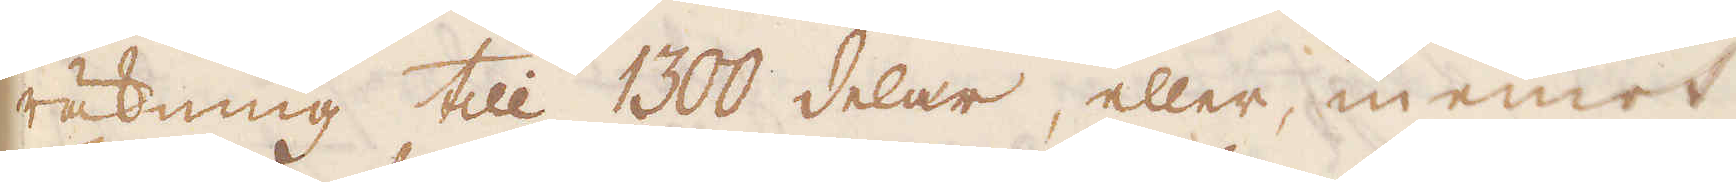räkning till 1300 delar, eller inemot
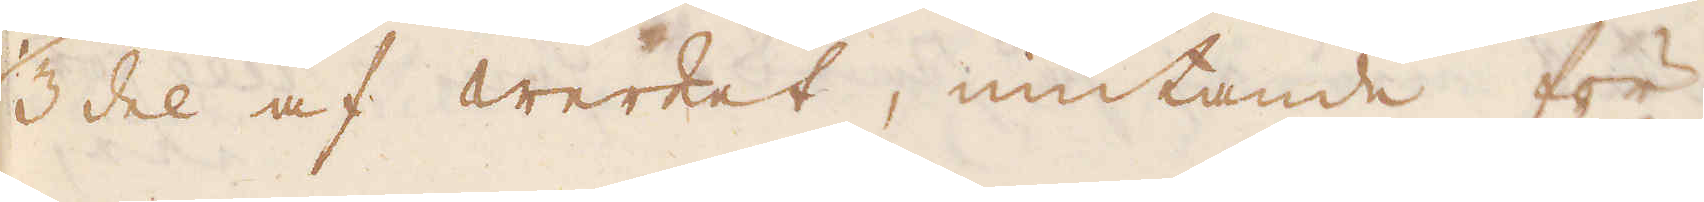1/3 del af werket, mutande för
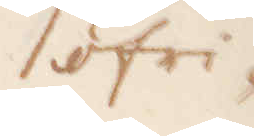öfri-
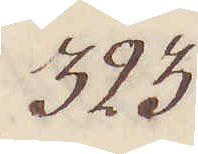323.
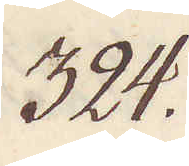324.
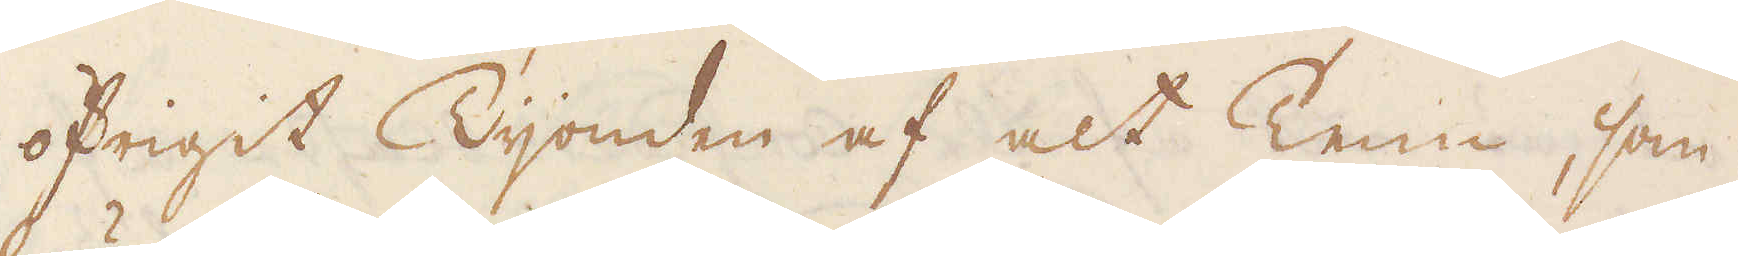öfrigit Tijonden af alt Tenn, som
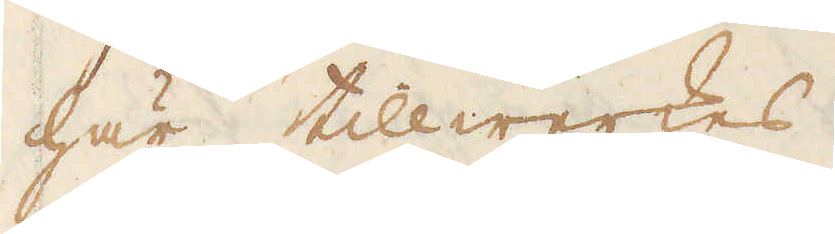här tillwerkes.
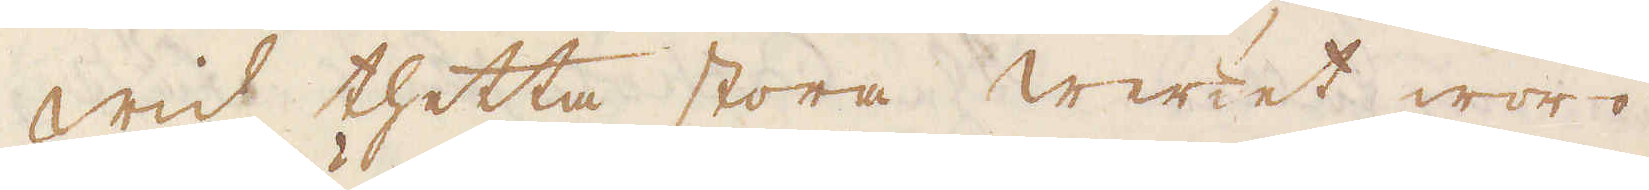Wid thetta stora werket woro
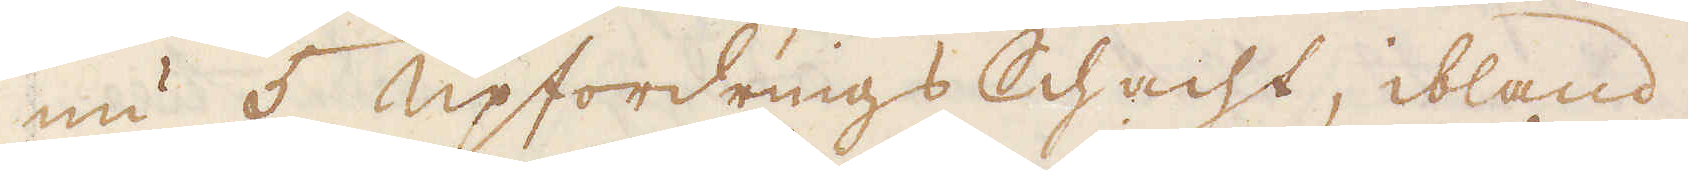nu 5 upfordrings Schacht, ibland
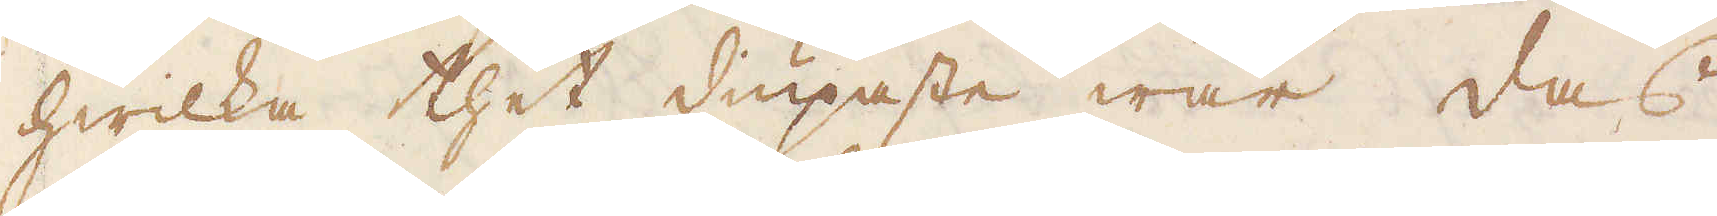hwilka thet diupaste war das
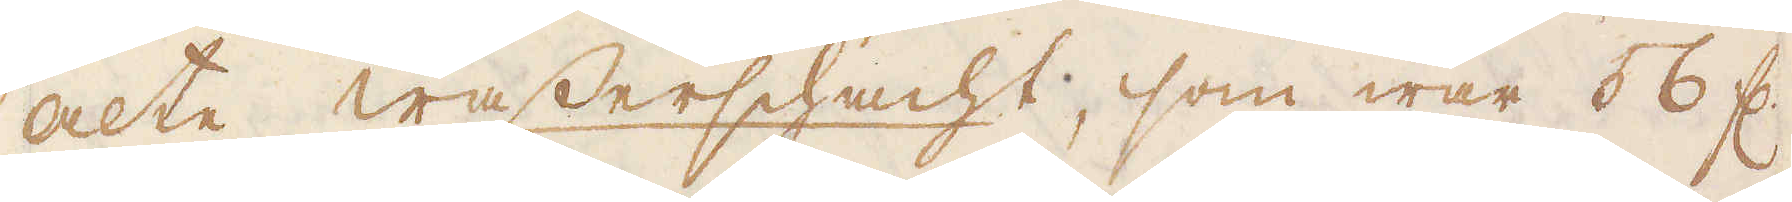alte wasserschacht, som war 56 f:r
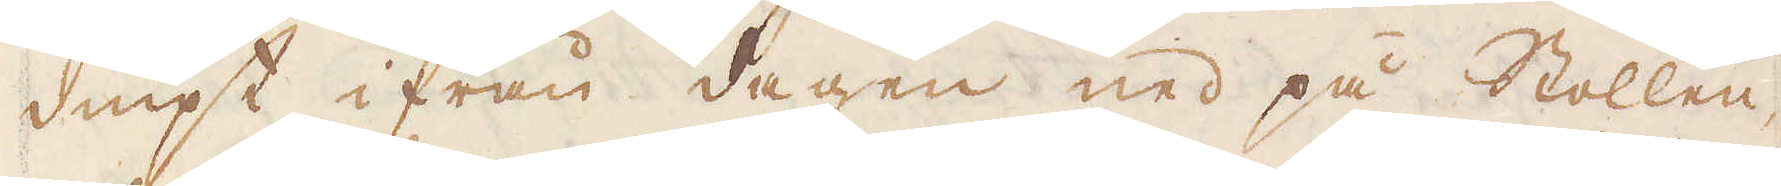diupt ifrån dagen ned på Stollen,
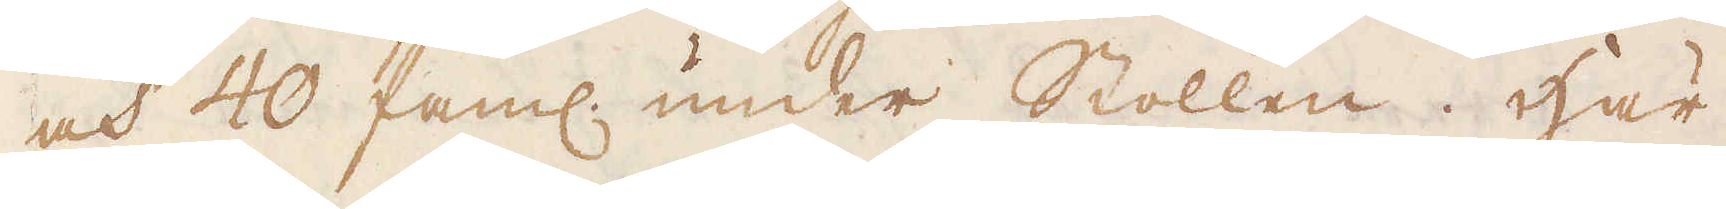och 40 fam:r under Stollen. Här
